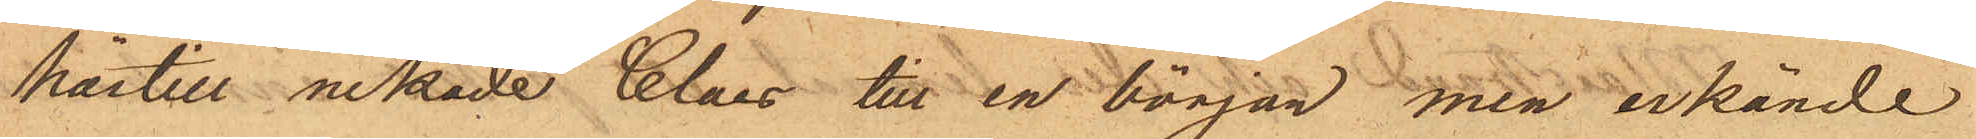härtill nekade Claes till en början men erkände
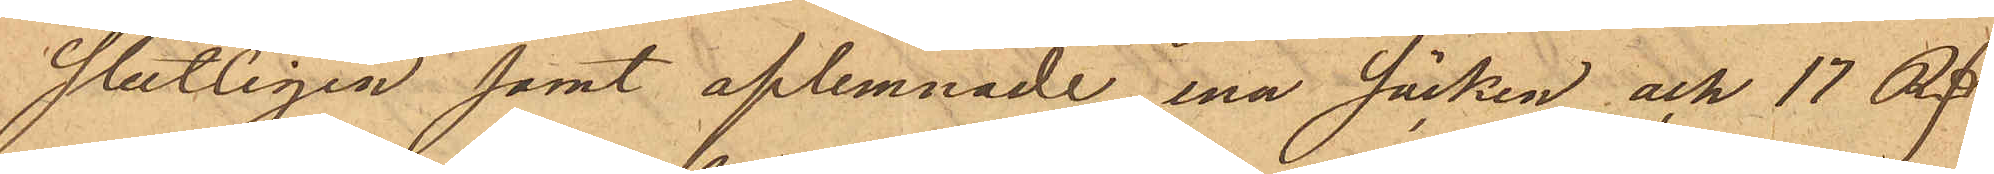slutligen samt aflemnade ena säcken och 17 Rd
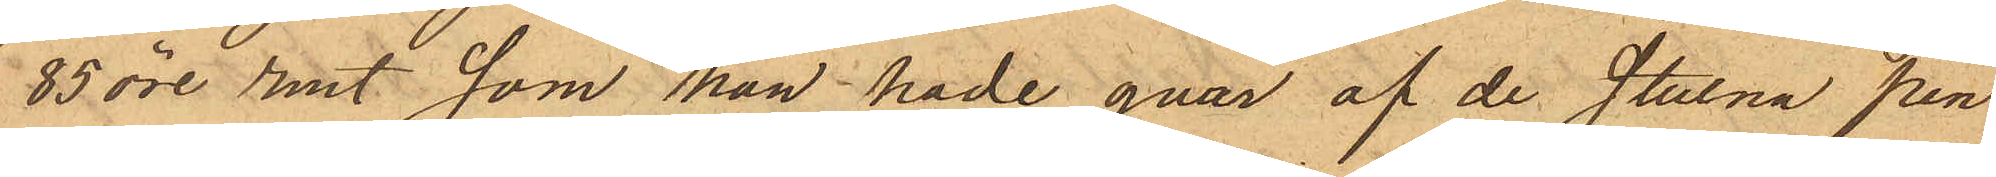85 öre rmt, som han hade qvar af de stulna pen¬
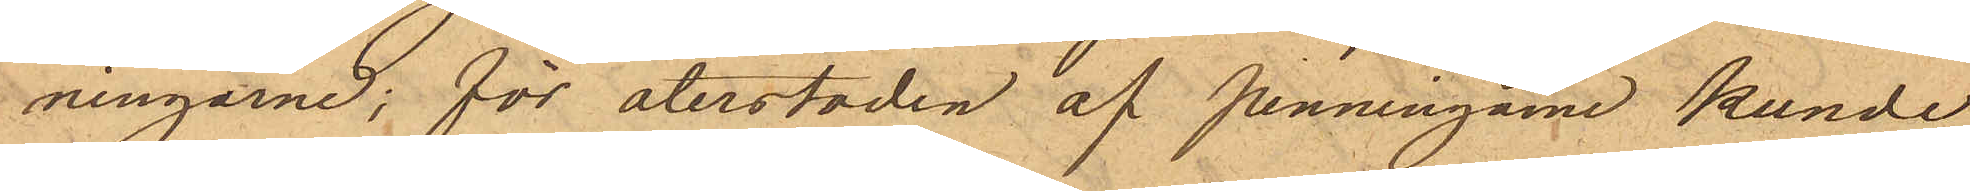ningarne; för återstoden af penningarne kunde
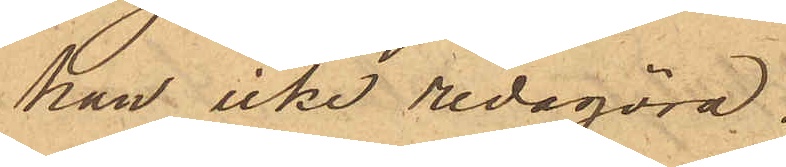han icke redogöra.
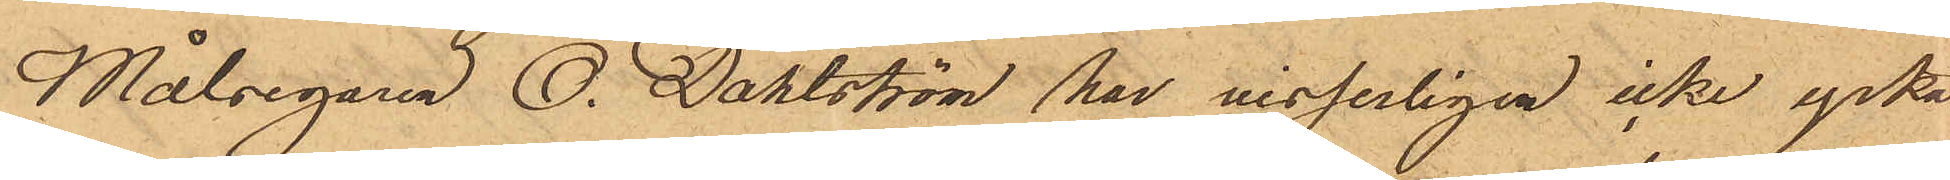Målsegaren O. Dahlström har visserligen icke yrkat
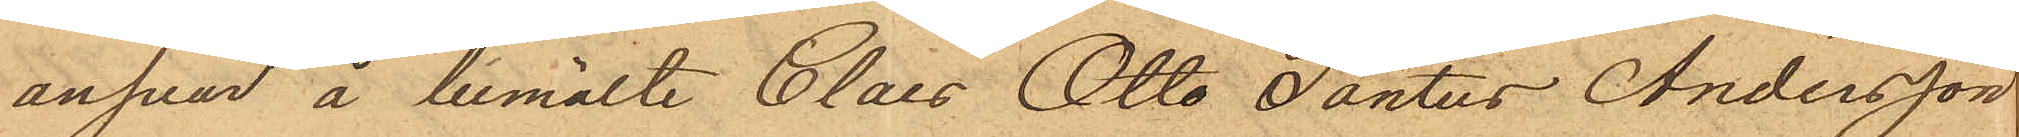ansvar å bemälte Claes Otto Pontus Andersson
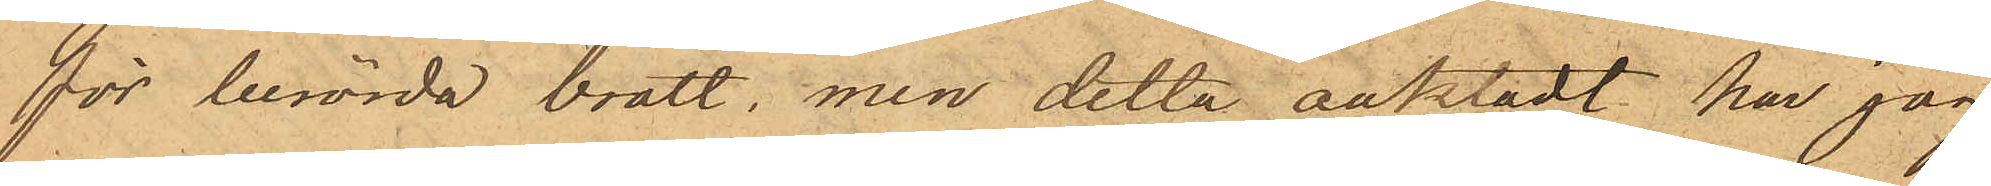för berörda brott, men detta oaktadt har jag
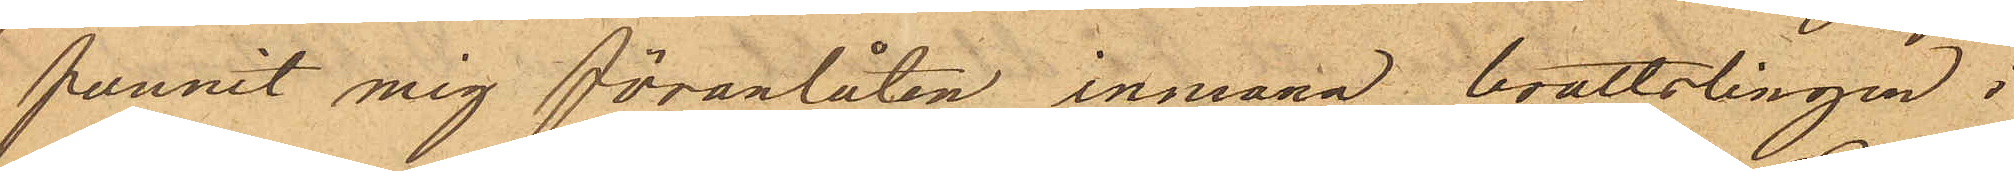funnit mig föranlåten inmana brottslingen i
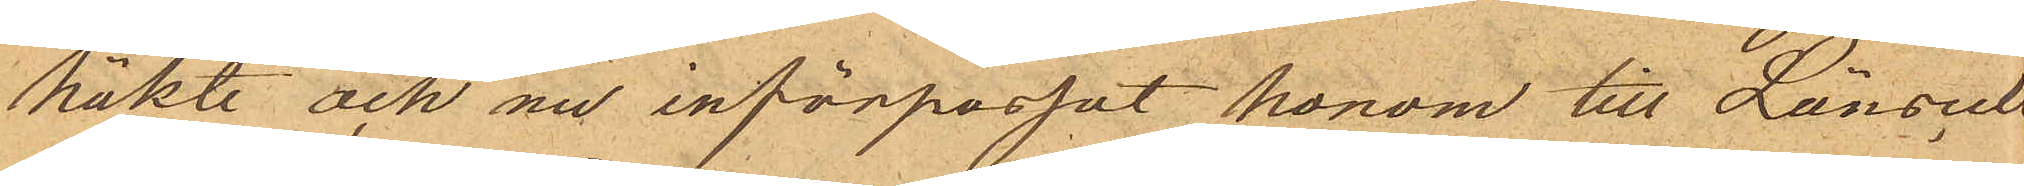häkte och nu införpassat honom till Länscell¬
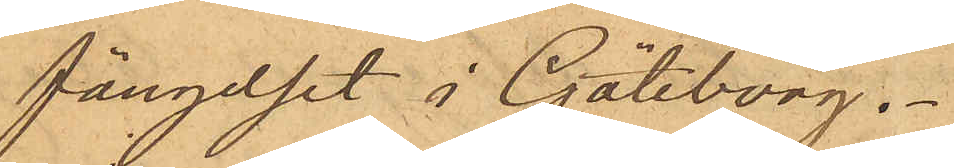fängelset i Göteborg.
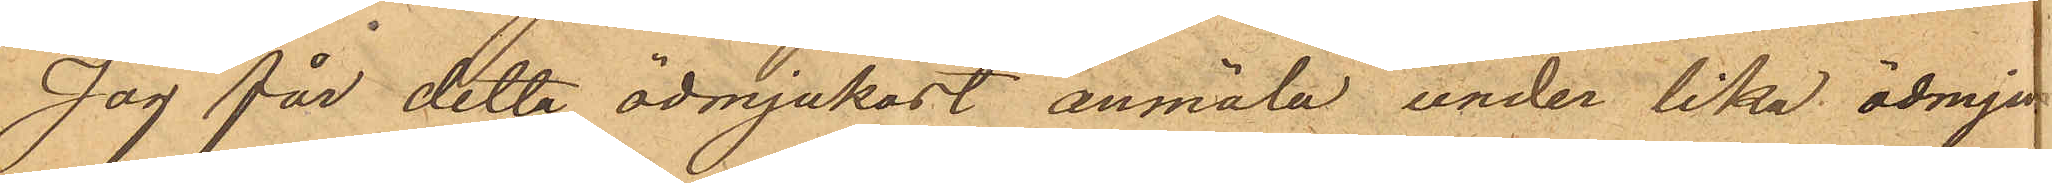Jag får detta ödmjukast anmäla, under lika ödmjuk
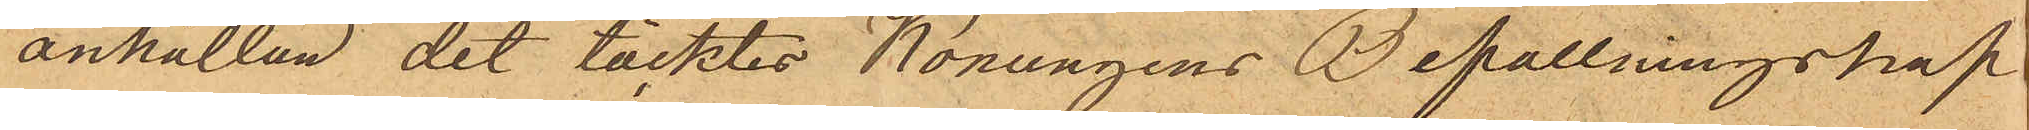anhållan det täcktes Konungens Befallningshaf¬
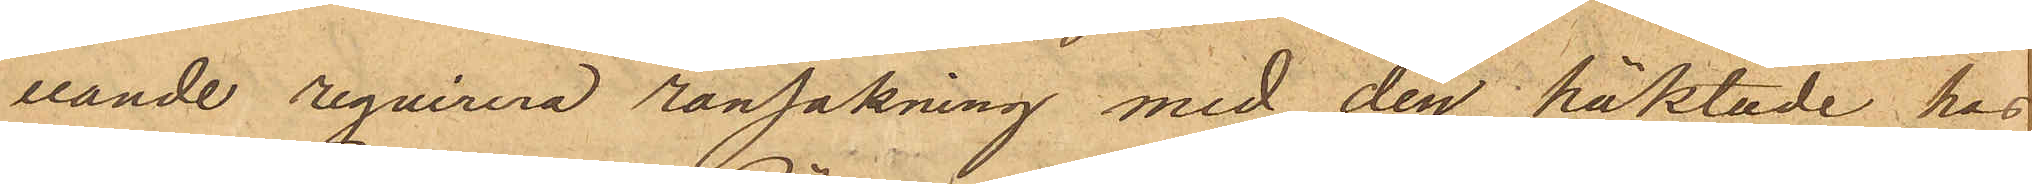vande reqvirera ransakning med den häktade hos
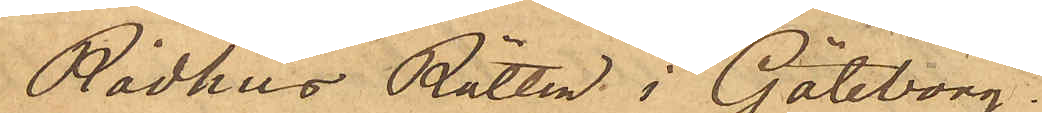Rådhus Rätten i Göteborg.
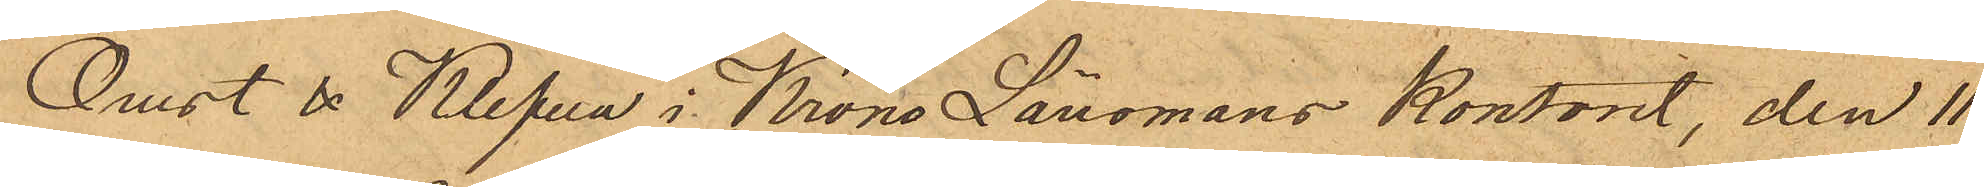Orust & Klefva i KronoLänsmans Kontoret, den 11
